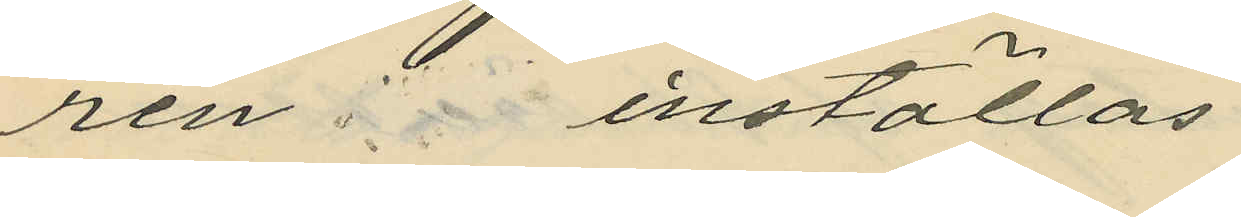ren inställas
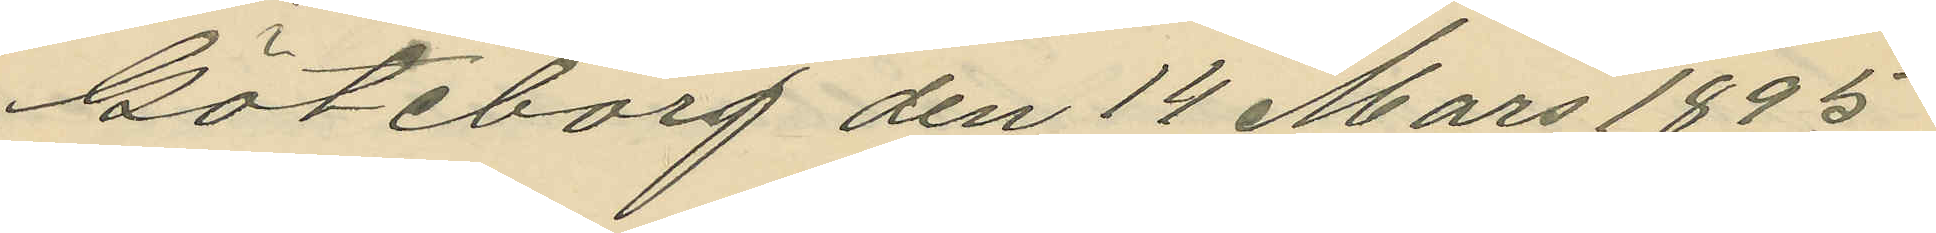Göteborg den 14 Mars 1895
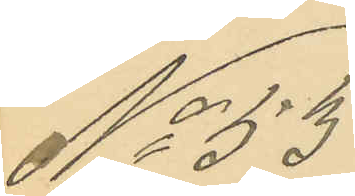No 53.
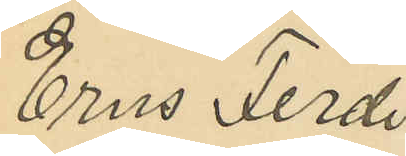Erns Ferdi
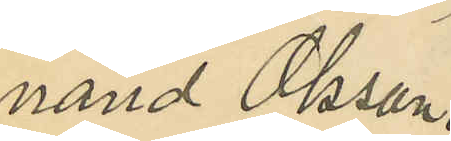nand Olsson.
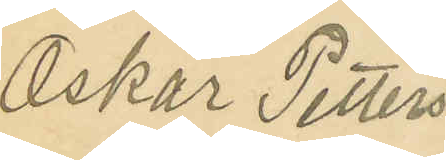Oskar Petters¬
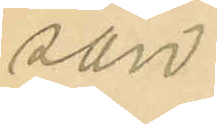son
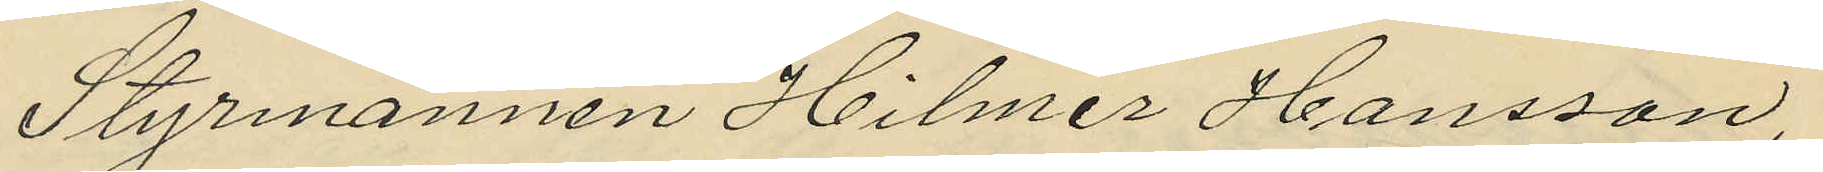Styrmannen Hilmer Hansson,
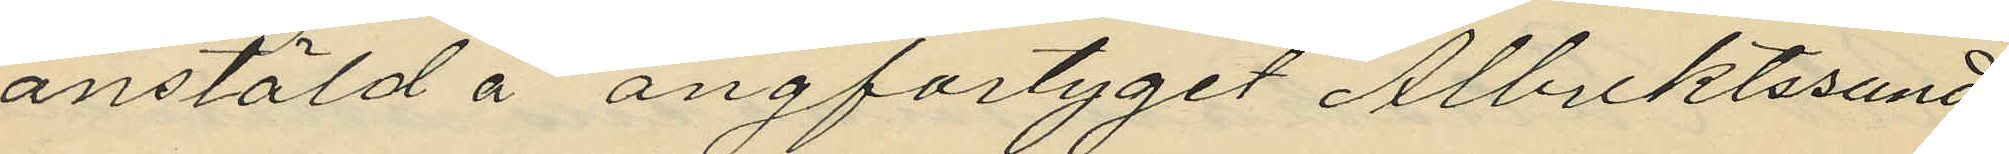anstäld å ångfartyget Albrektssund
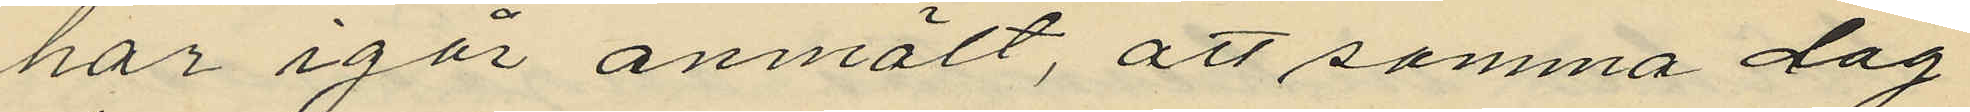har igår anmält, att samma dag
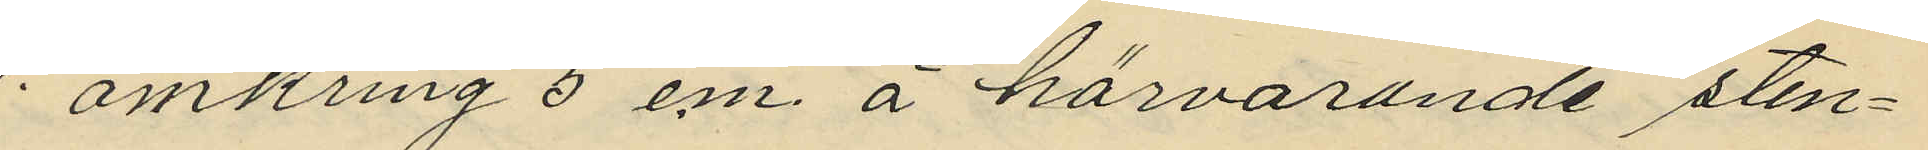omkring 5 em. å härvarande sten¬
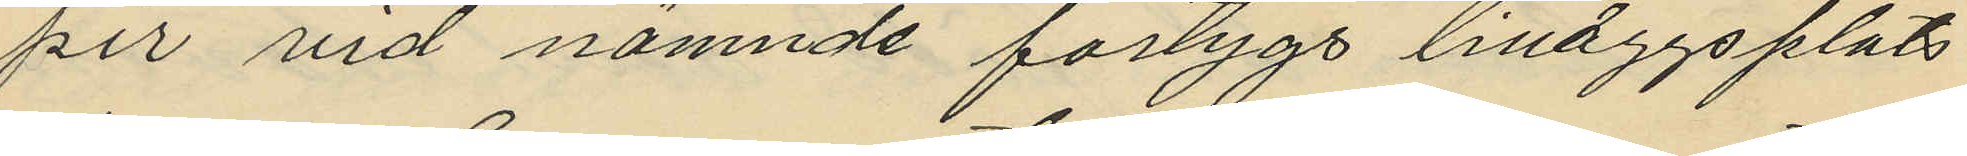pir vid nämnde fartygs tilläggsplats
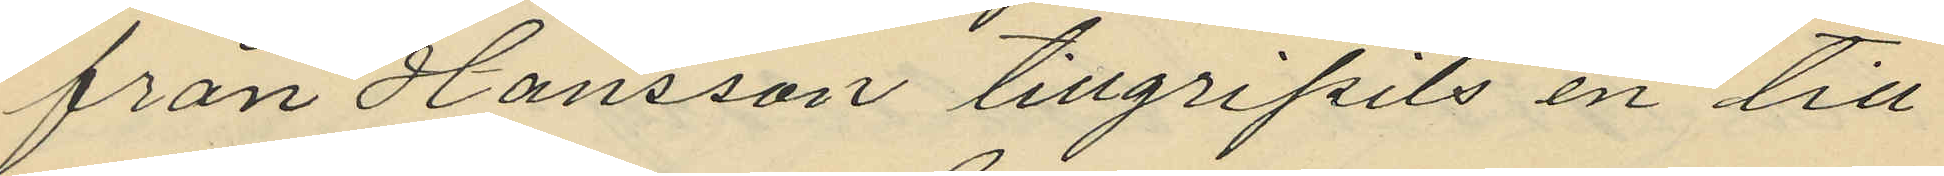från Hansson tillgripits en till
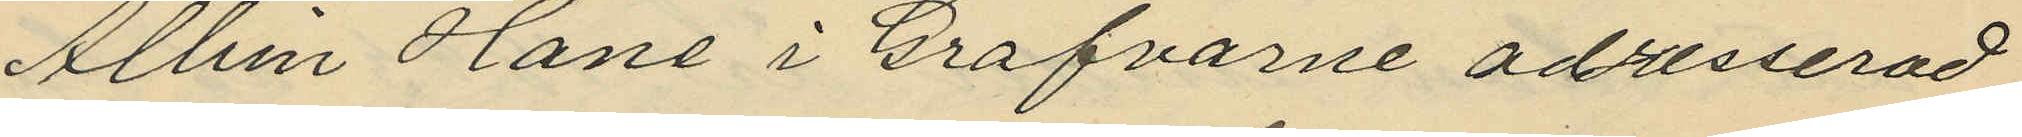Albin Hane i Grafvarne adresserad
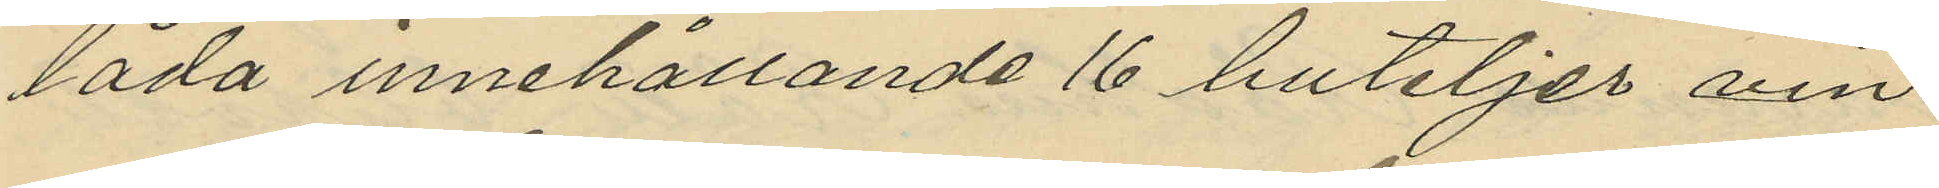låda innehållande 16 buteljer vin
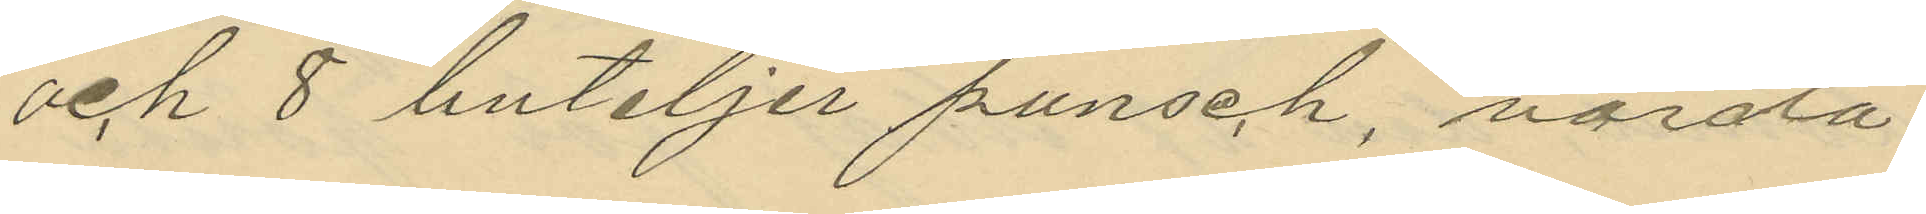och 8 buteljer punsch, värda
